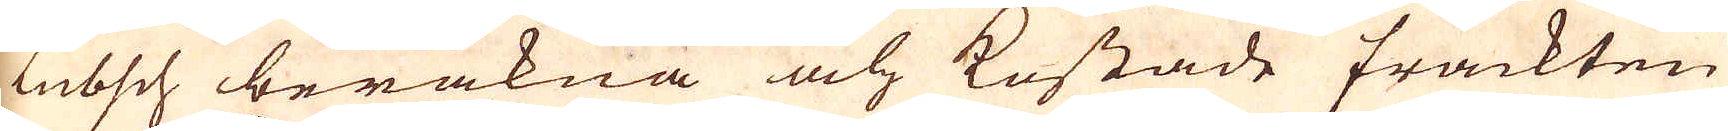Lübsch beräkna och kostade frackten
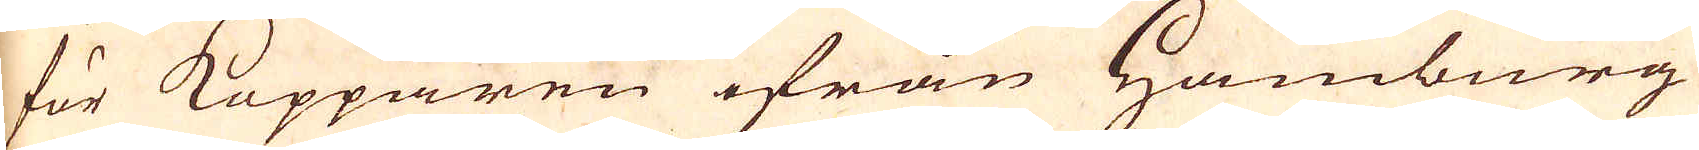för Kopparen ifrån Hamburg
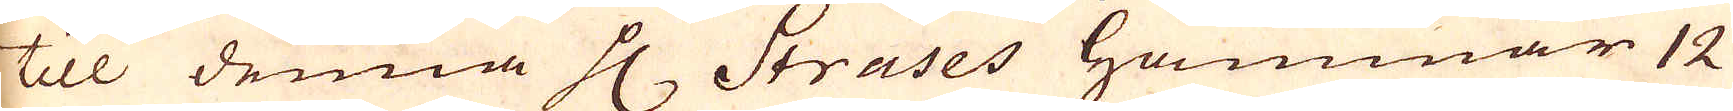till denna H. Strases Hammar 12
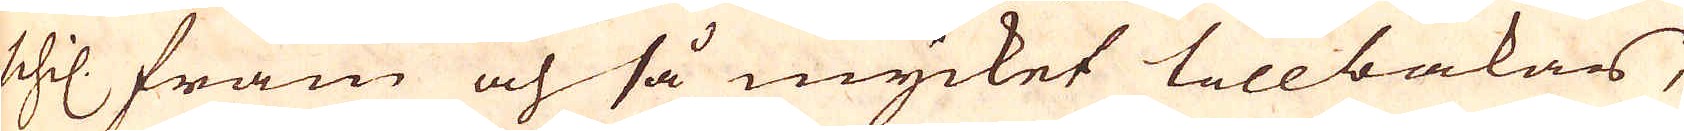schil. fram och så mycket tillbakars,
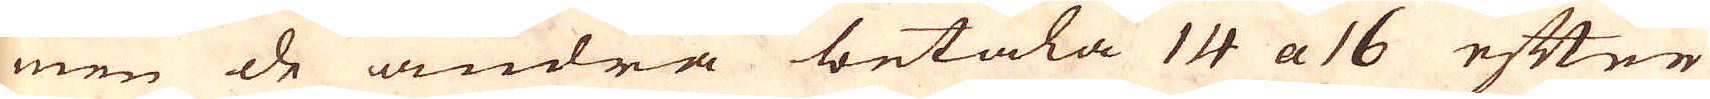men de andra betala 14 a 16 efter
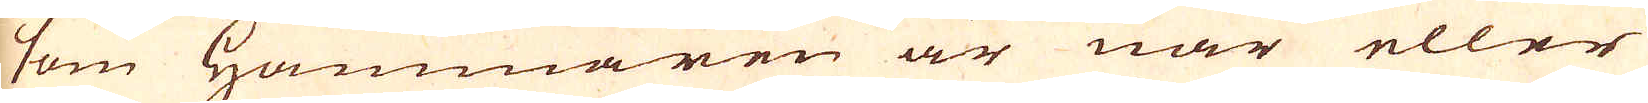som hammaren är när eller
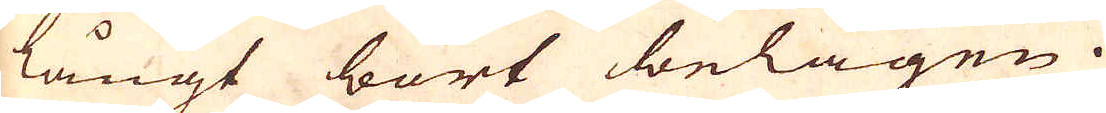långt bort belägen.
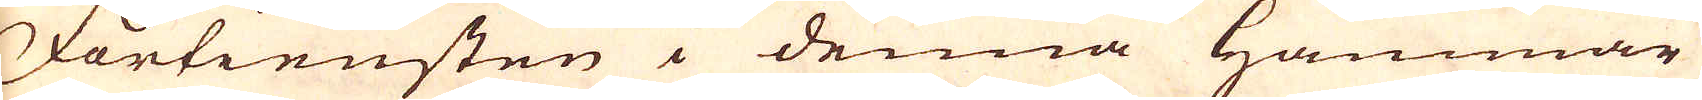Förtiensten i denna Hammar
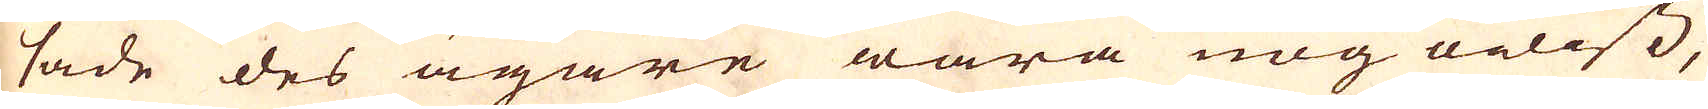sade des ägare wara nog owiss,
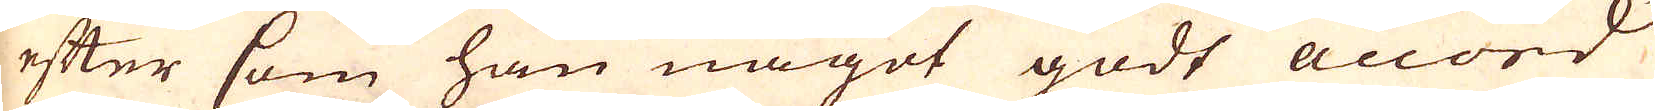efter som han något godt accord
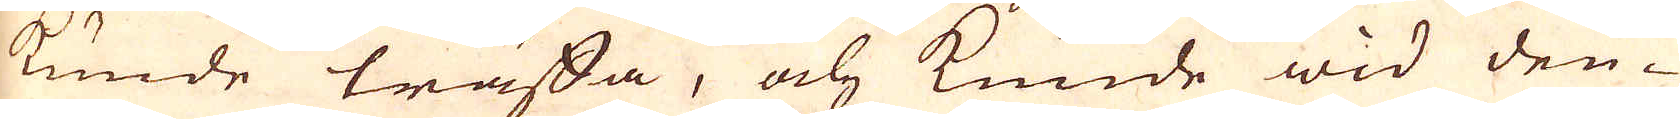kunde träffa, och kunde wid den-
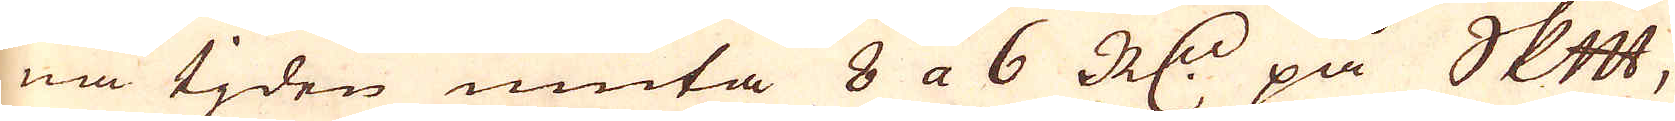na tjden niuta 8 a 6 R:dr på skeppundet,
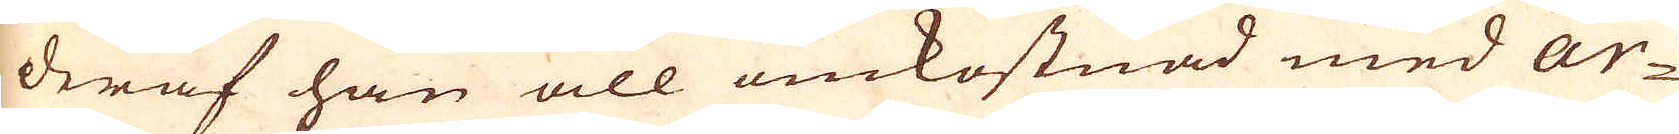deraf han all omkostnad med Ar-
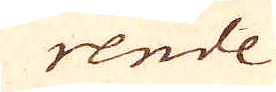rende
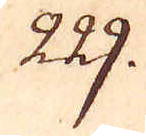229.
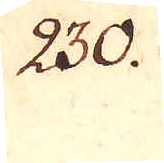230.
